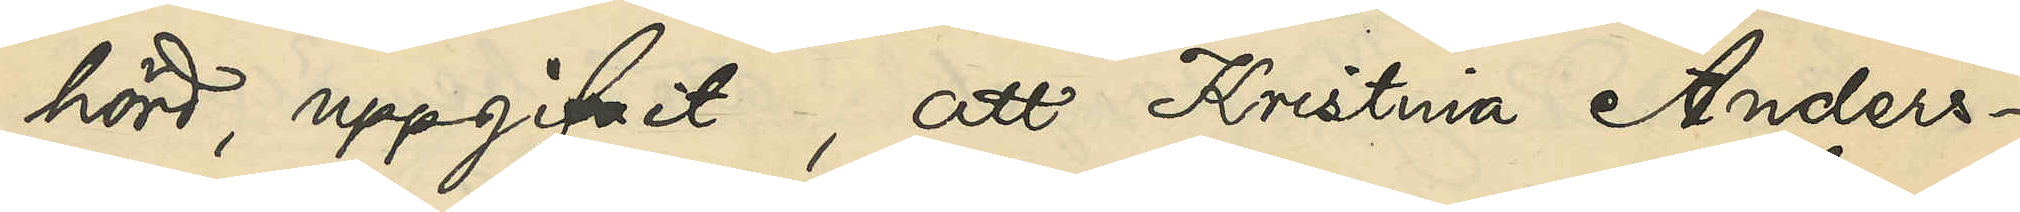hörd, uppgifvit, att Kristina Anders¬
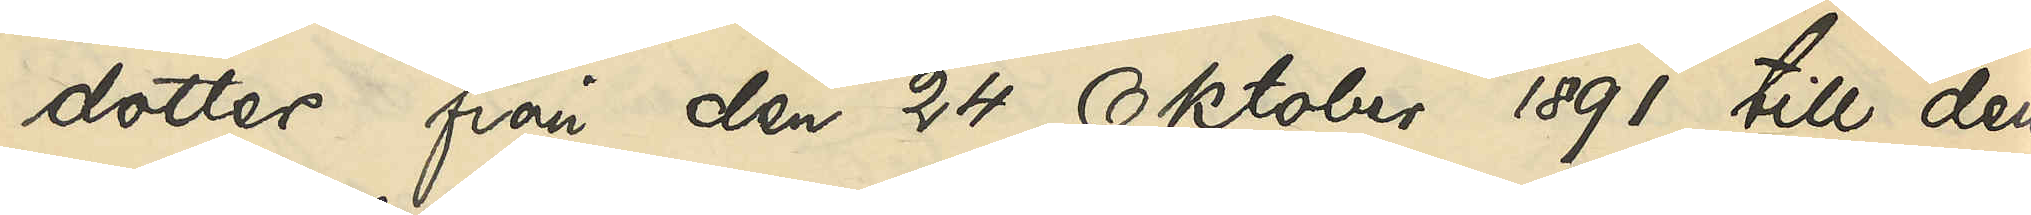dotter från den 24 Oktober 1891 till den
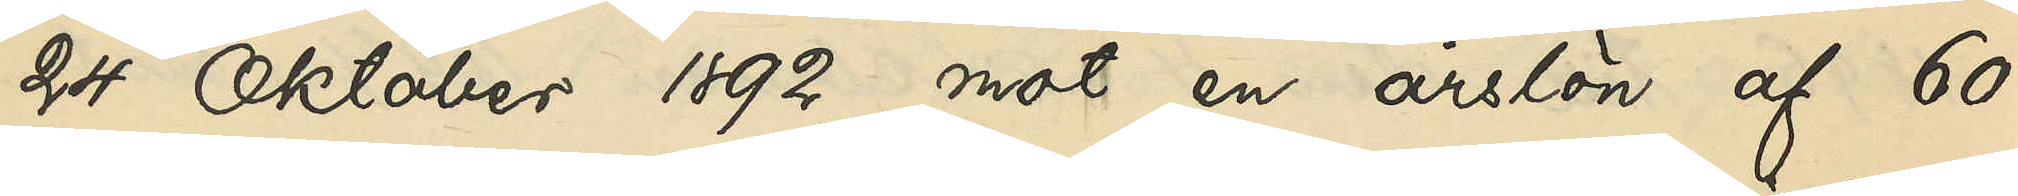24 Oktober 1892 mot en årslön af 60
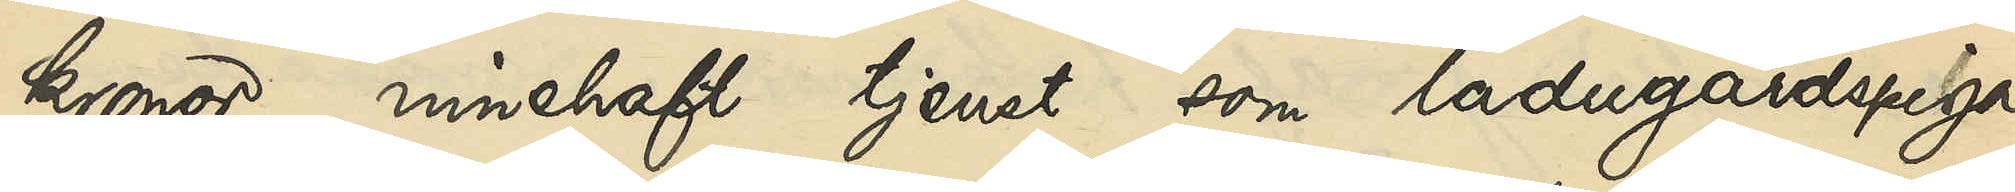kronor innehaft tjenst som ladugårdspiga
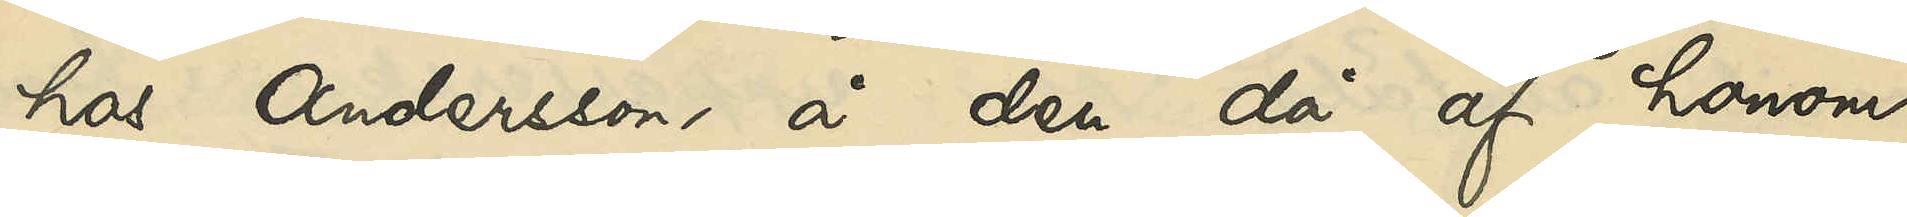hos Anderson, å den då af honom
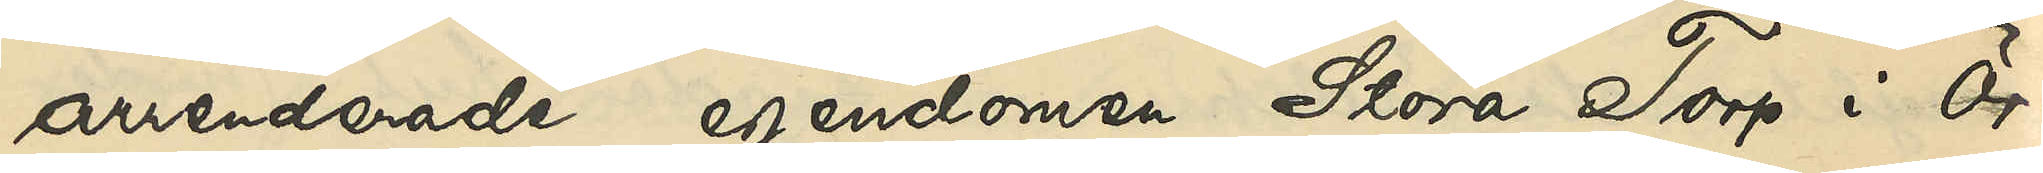arrenderad egendomen Stora Torp i Ör¬
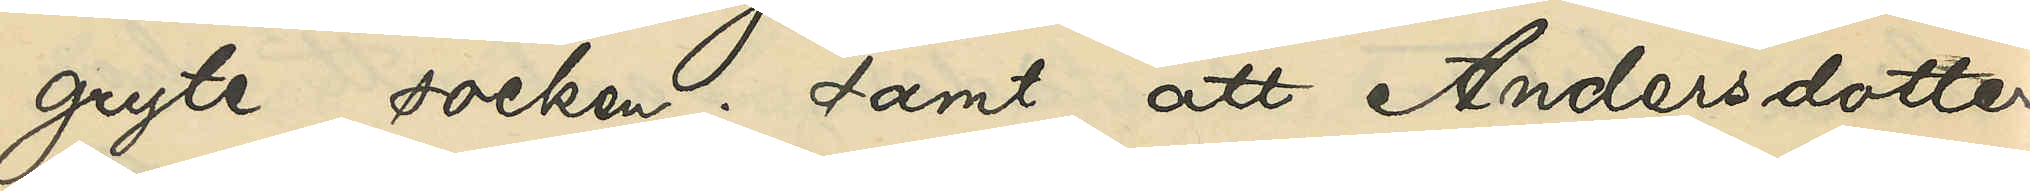gryte socken; samt att Andersdotter
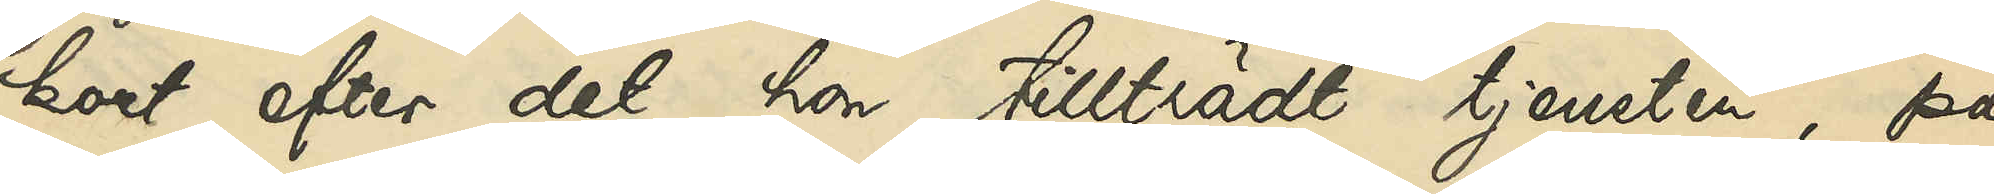kort efter det hon tillträdt tjensten, på
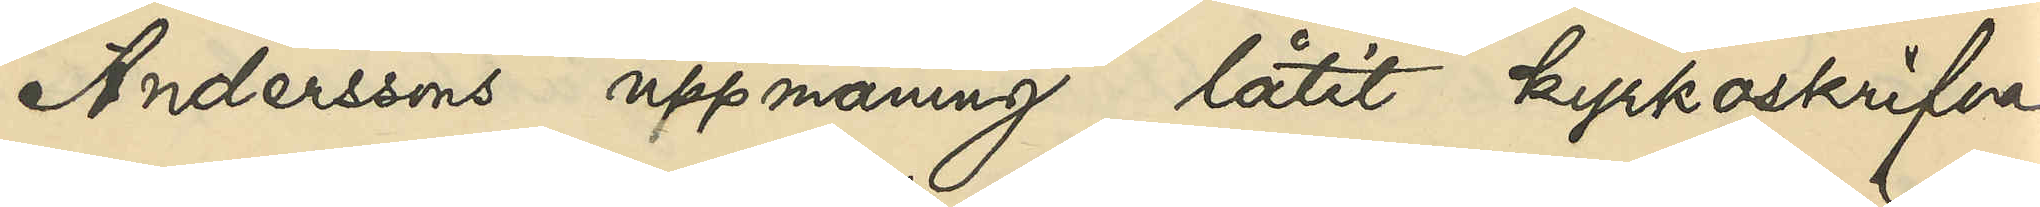Anderssons uppmaning låtit kyrkoskrifva
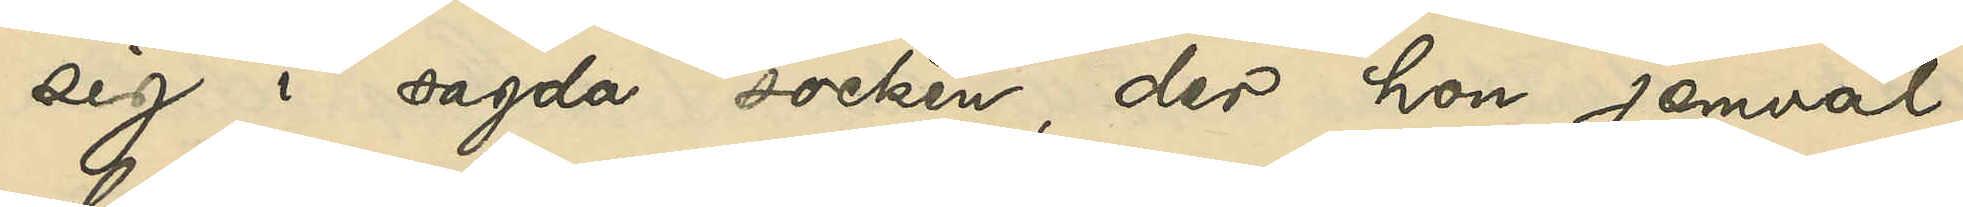sig i sagda socken, der hon jemväl
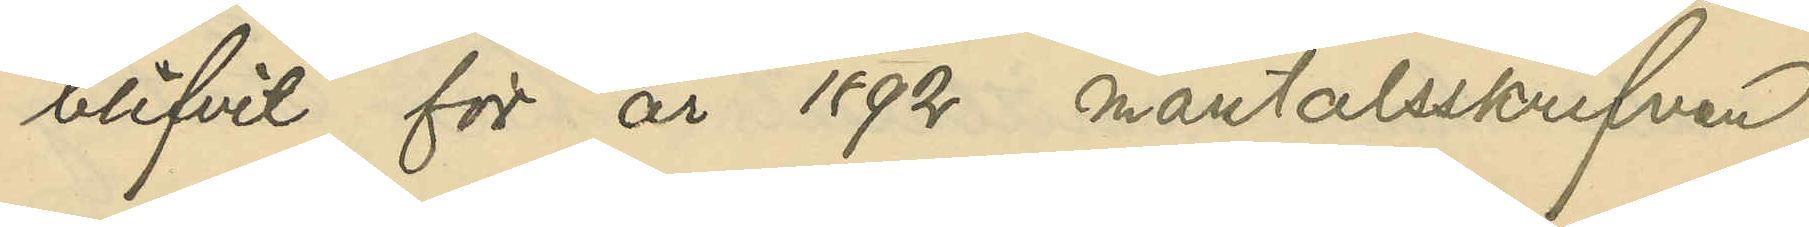blifvit för år 1892 mantalsskrifven.
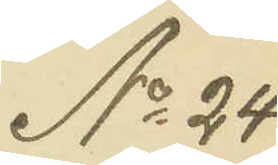No 24
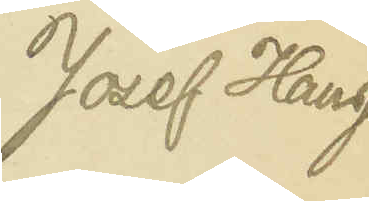Josef Haug
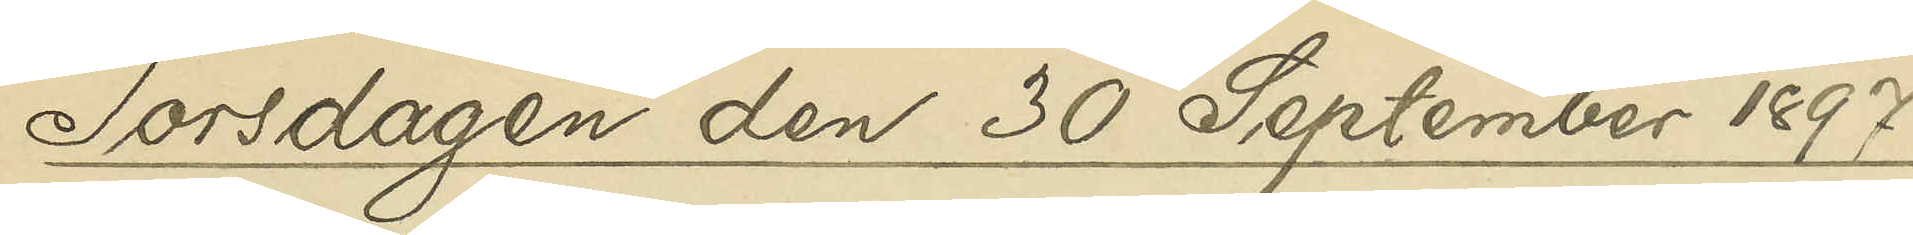Torsdagen den 30 September 1897.
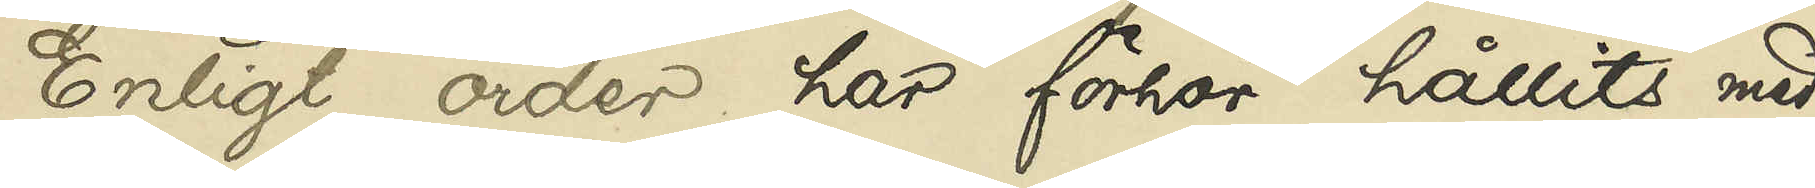Enligt order har förhör hållits med
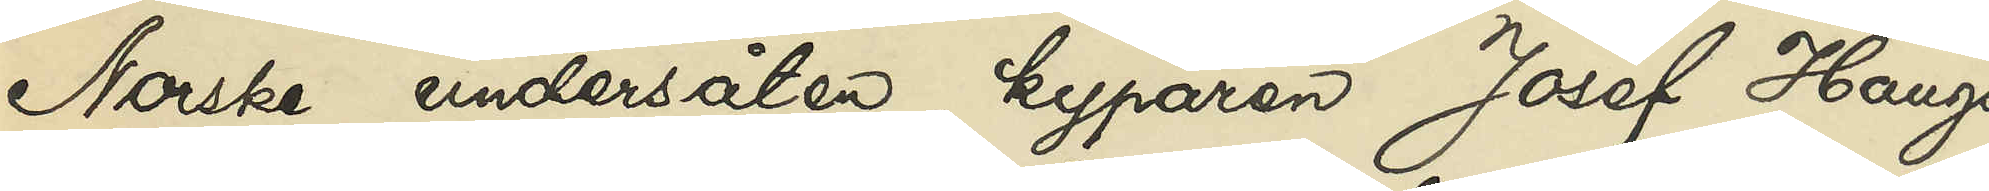Norske undersåten, kyparen Josef Haugs
